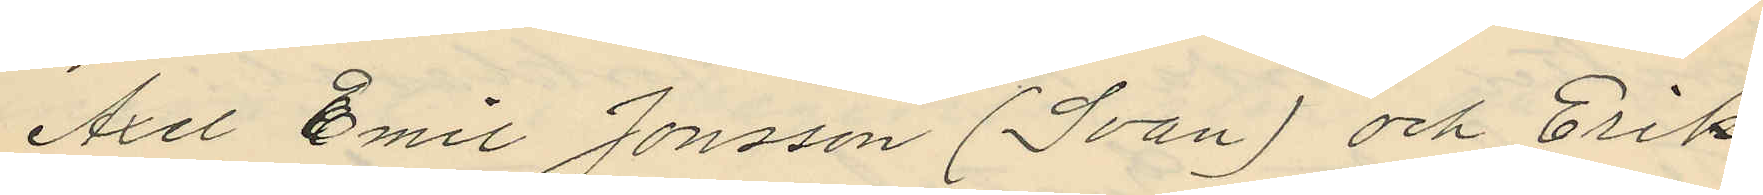Axel Emil Jonsson (Svan) och Erik
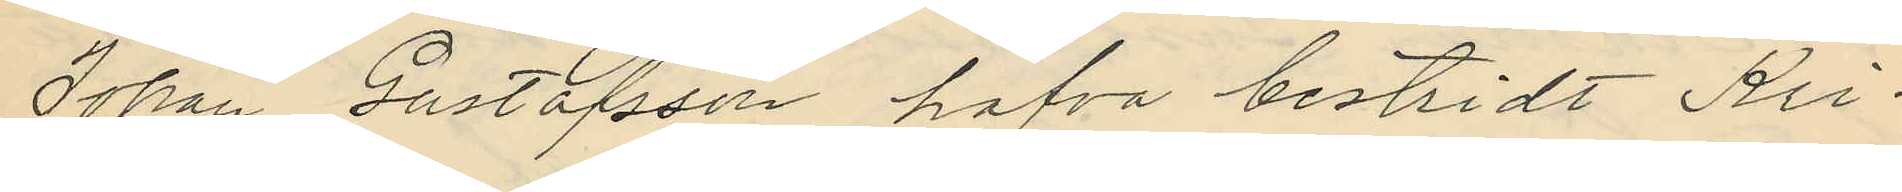Johan Gustafsson hafva bestridt Kri¬
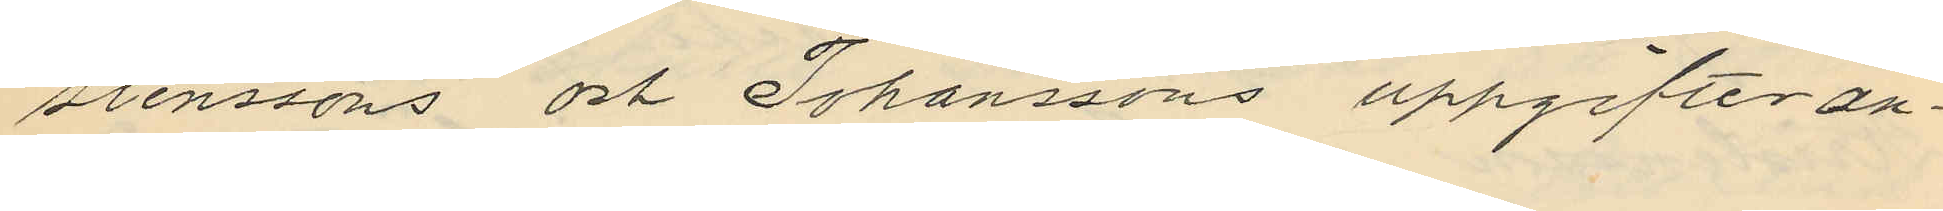stenssons och Johanssons uppgifter an¬
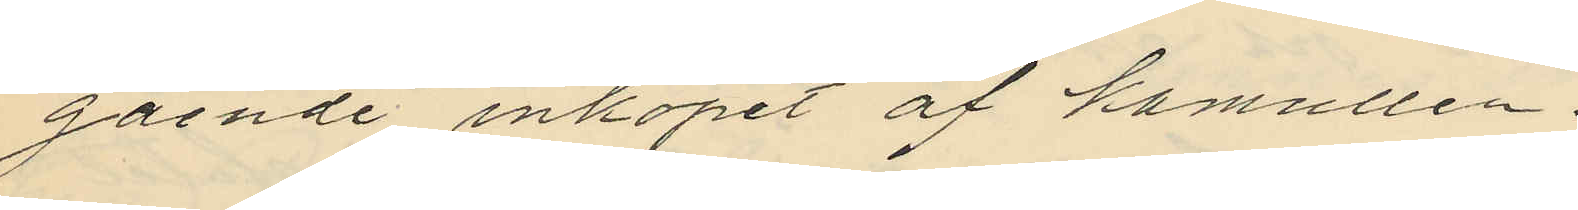gående inköpet af kamullen.
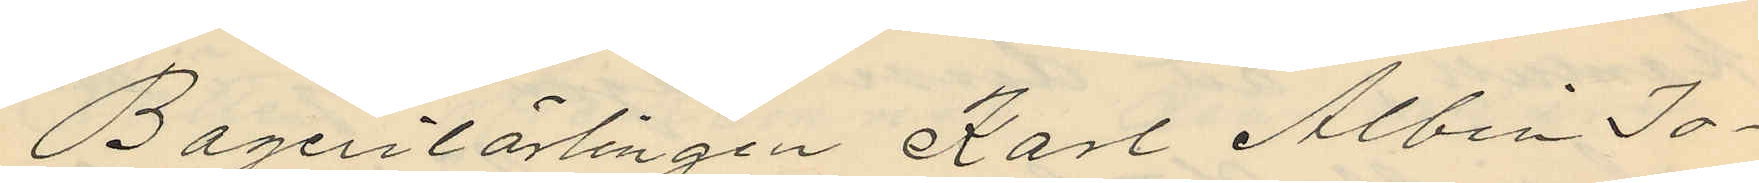Bagerilärlingen Karl Albin Jo¬
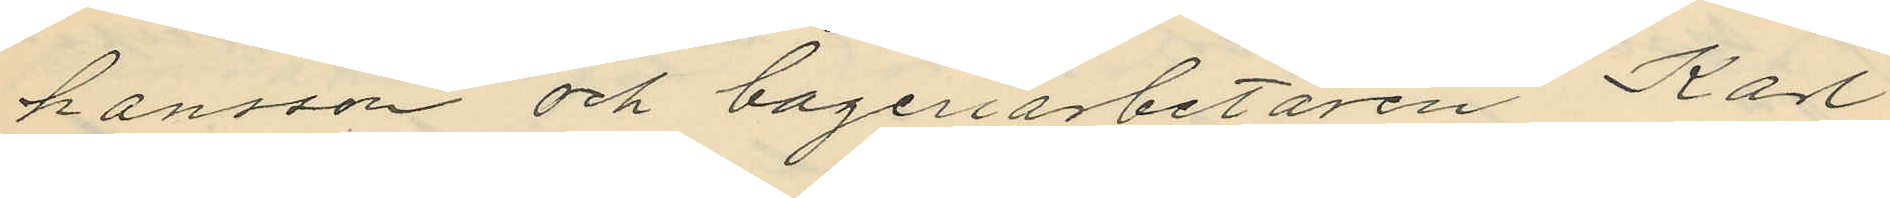hansson och bageriarbetaren Karl
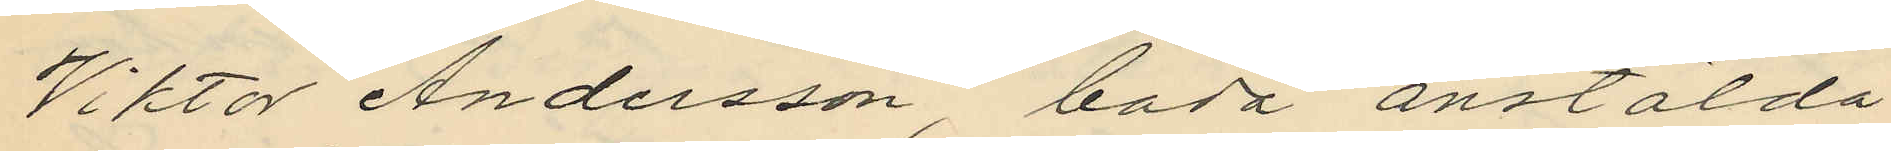Viktor Andersson båda anstälda
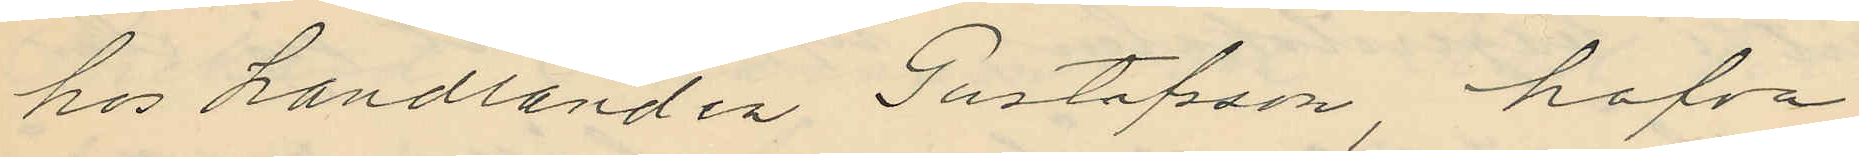hos handlanden Gustafsson hafva
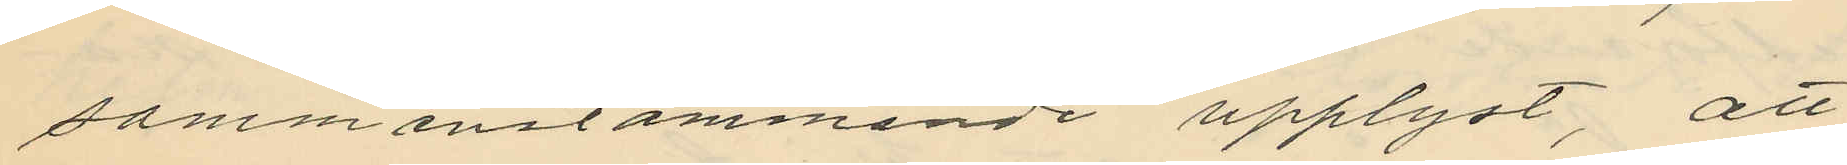sammanstämmande upplyst, att
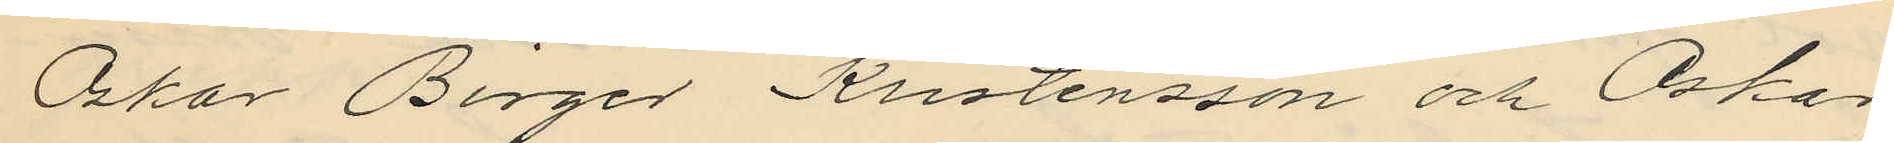Oskar Birger Kristensson och Oskar
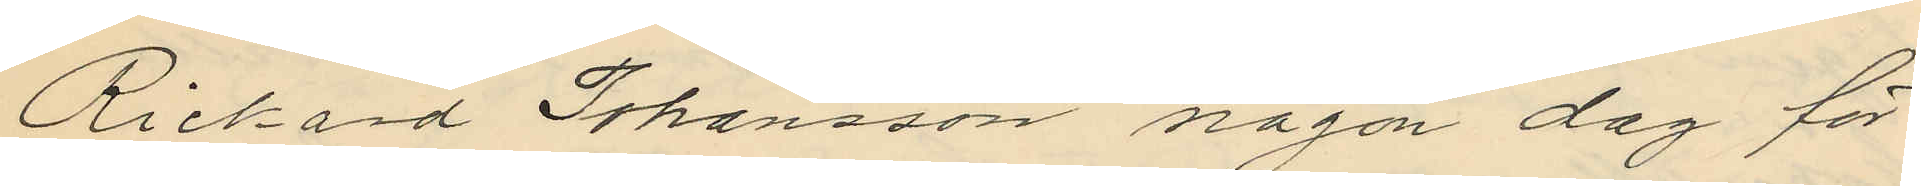Richard Johansson någon dag för
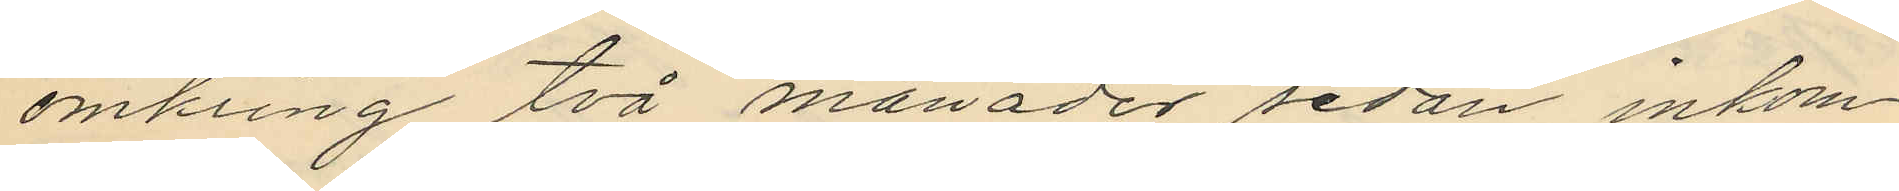omkring två månader sedan inkom¬
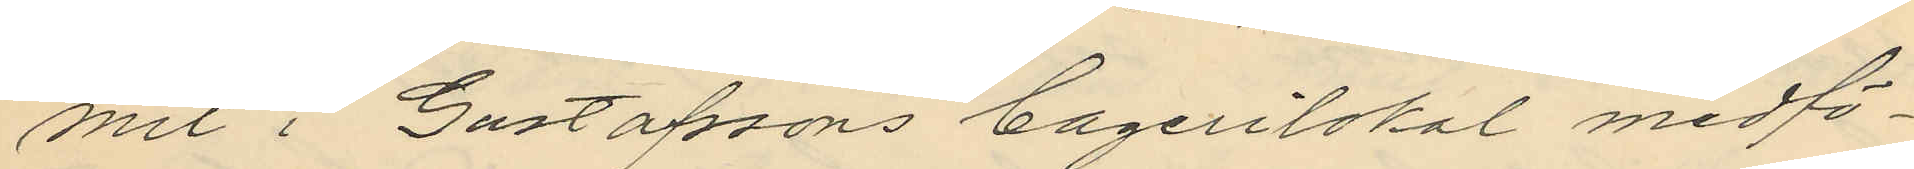mit i Gustafssons bagerilokal medfö¬
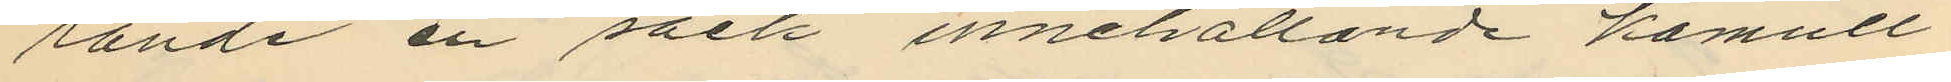rande en säck innehållande kamull;
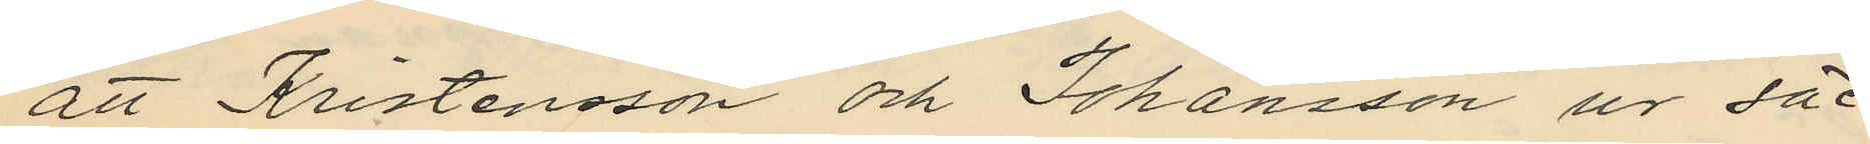att Kristensson och Johansson ur säc¬
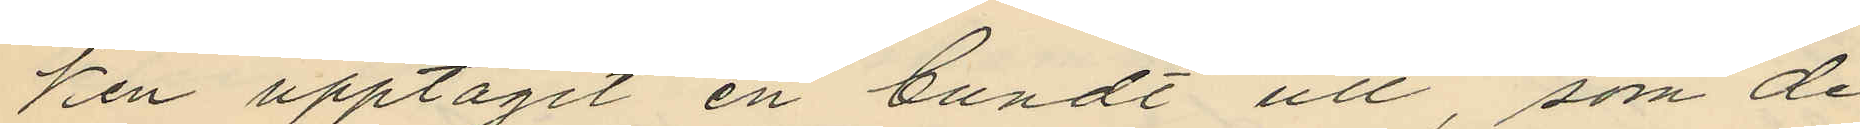ken upptagit en bundt ull, som de
